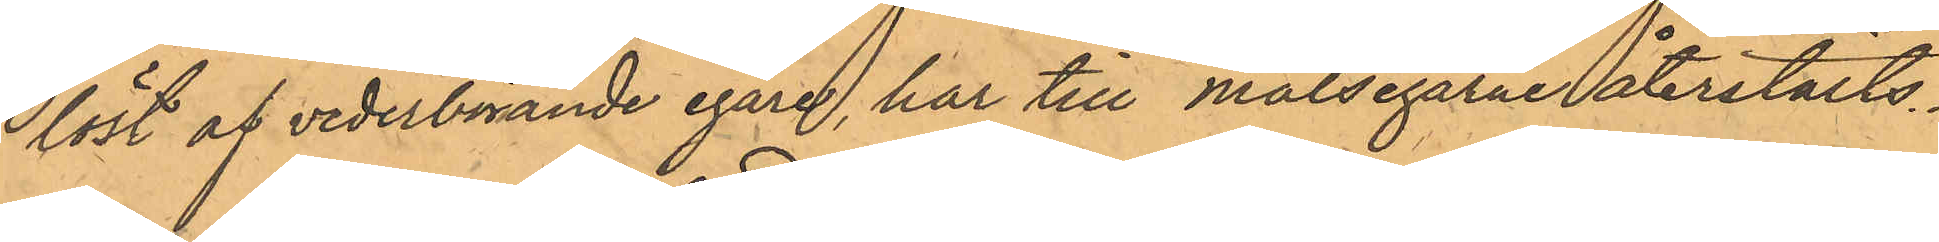löst af vederbörande egare, har till målsegarne återstälts.
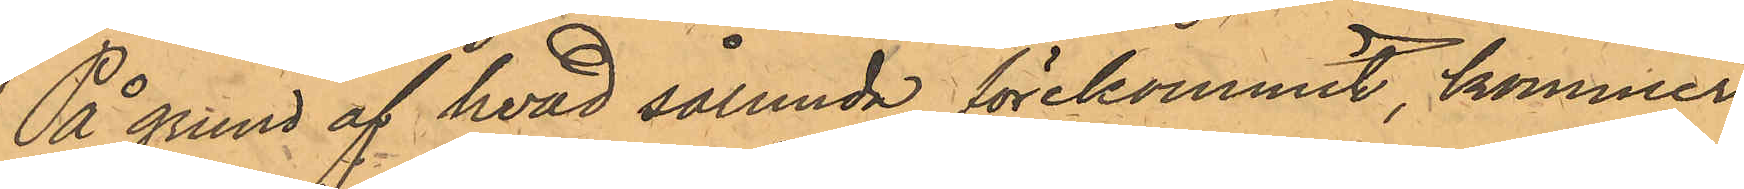På grund af hvad sålunda förekommit, kommer
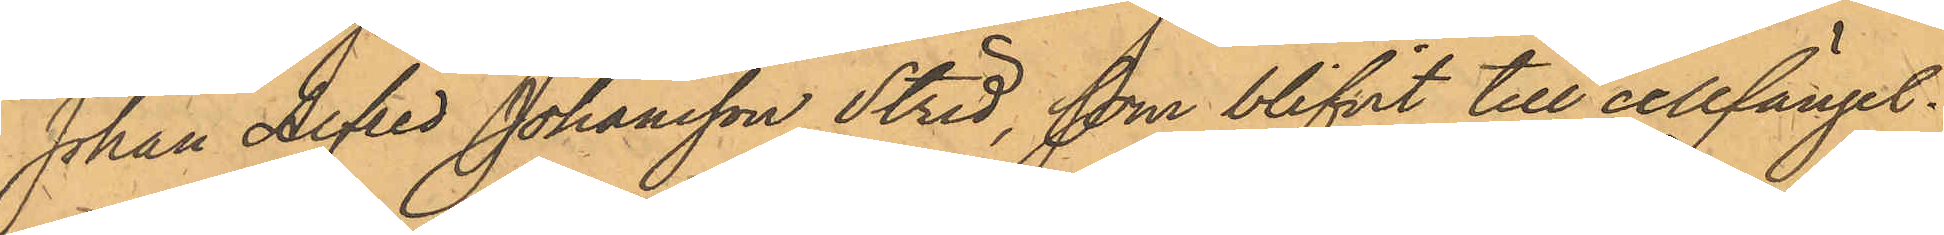Johan Alfred Johansson Strid, som blifvit till cellfängel¬
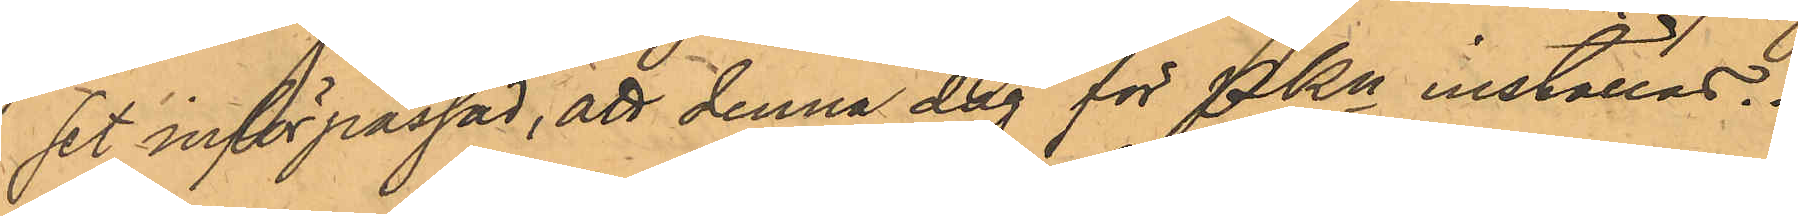set införpassad, att denna dag för PKn inställas.
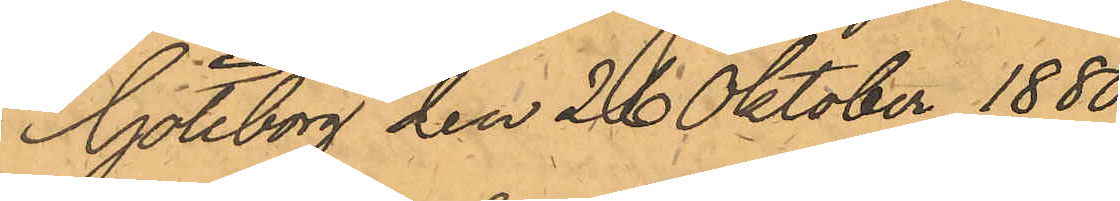Göteborg den 26 Oktober 1880.
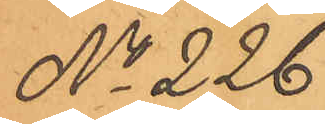No 226.
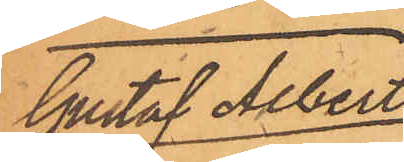Gustaf Albert
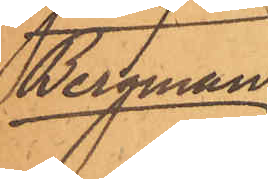Bergman.
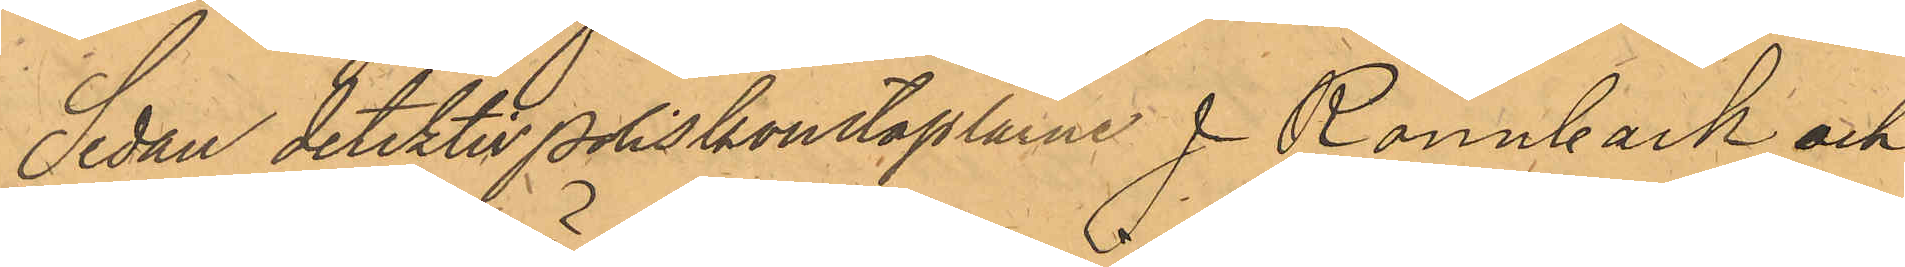Sedan detektivpoliskonstaplarne J. Rönnbäck och
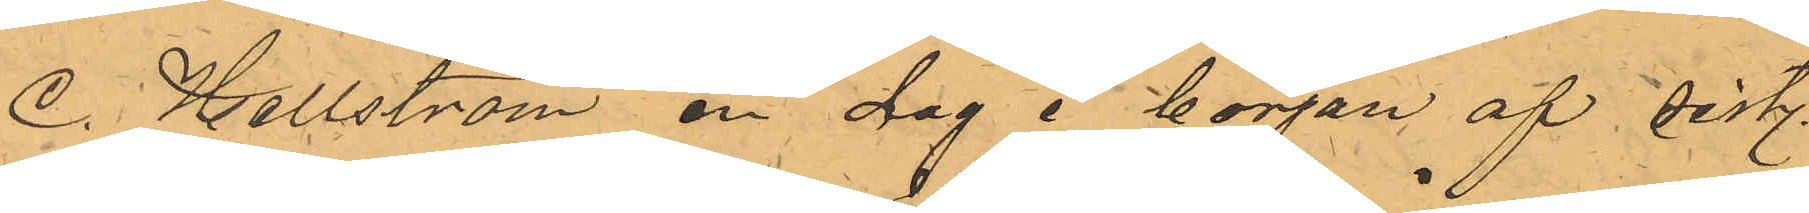C. Hellström en dag i början af sist.
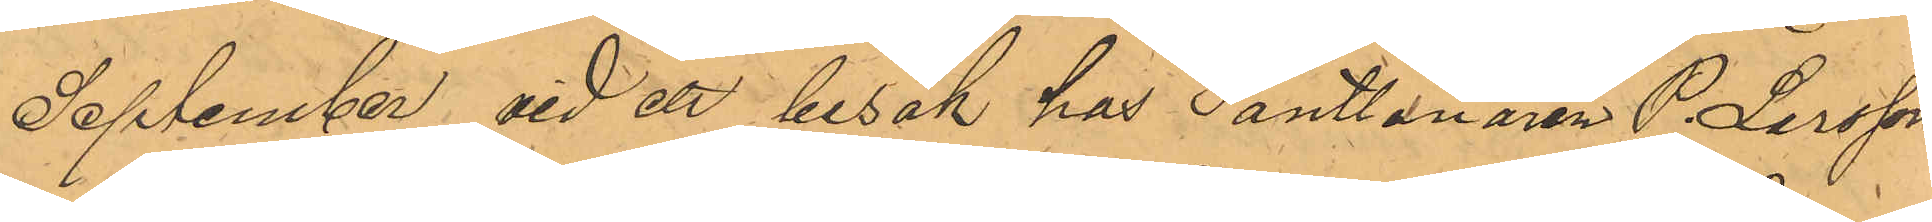September, vid ett besök hos Pantlånaren P. Larsson
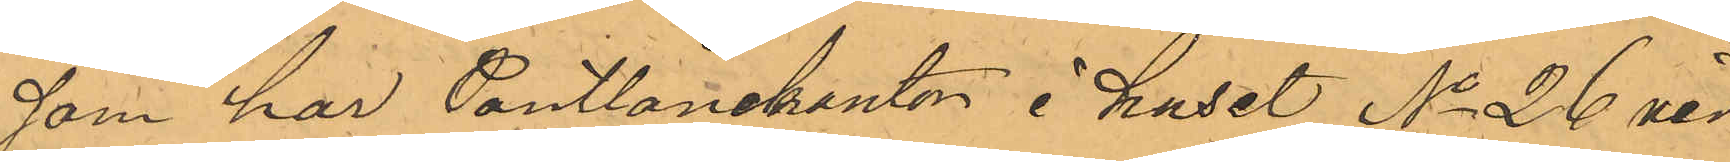som har Pantlånekontor i huset No 26 vid
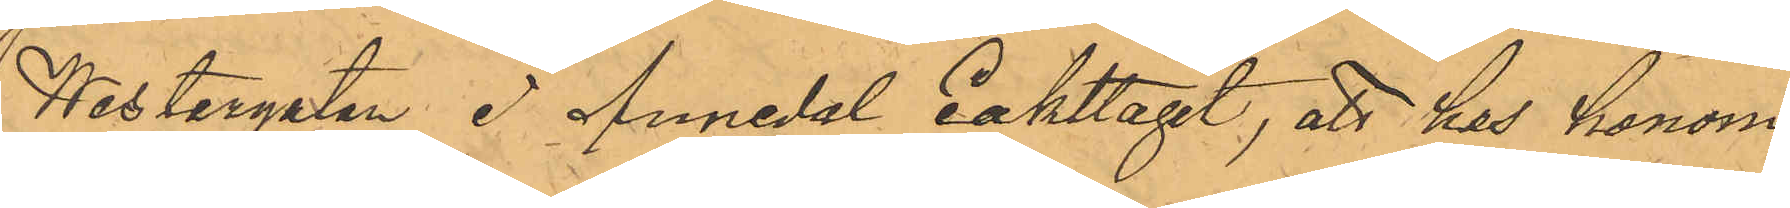Westergatan i Annedal iakttagit, att hos honom
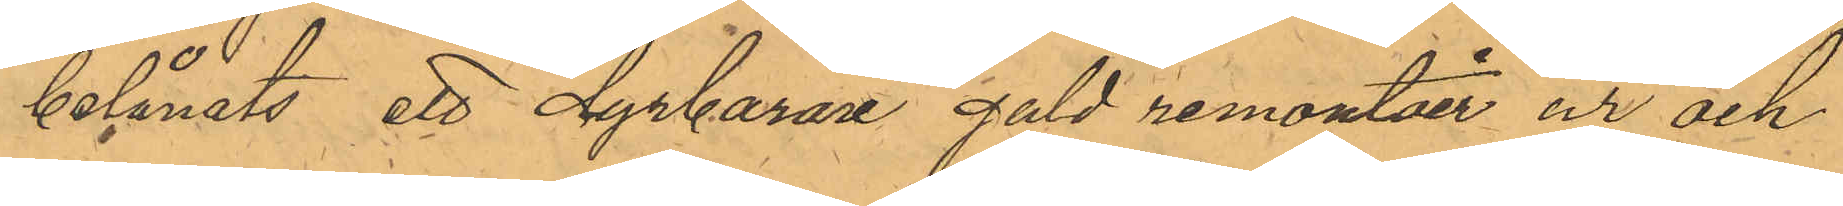belånats ett dyrbarare guld remontier ur och
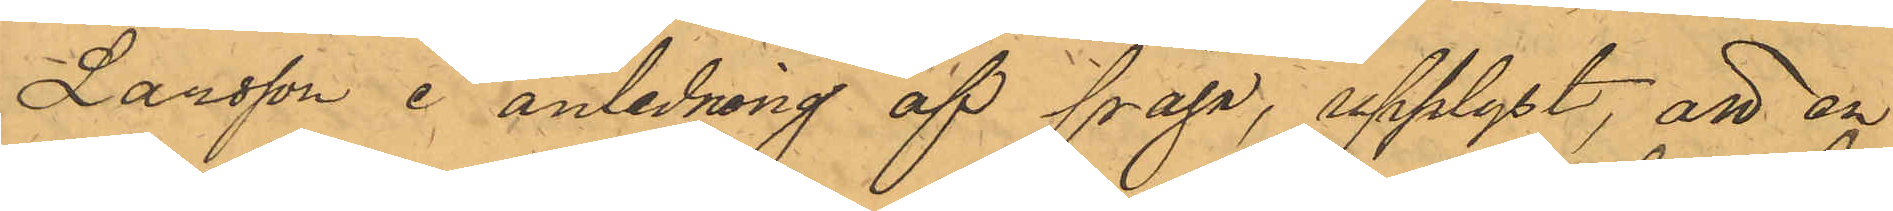Larsson å anledning af fråga, upplyst, att en
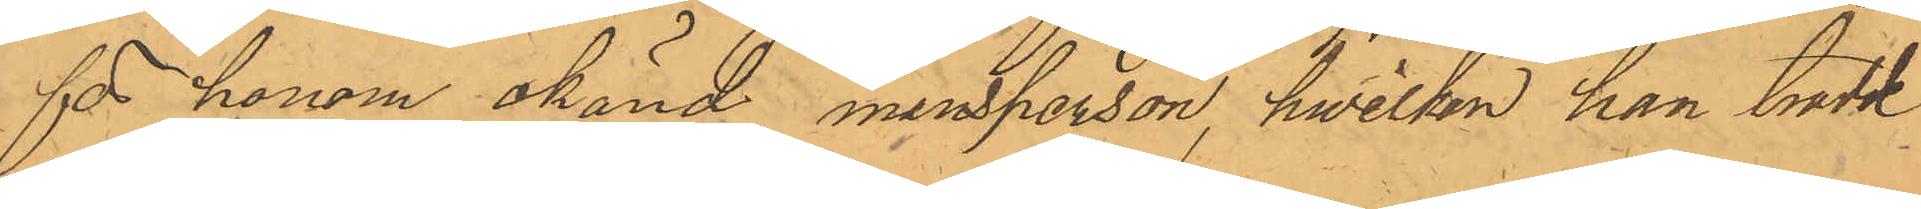för honom okänd mansperson, hwilken han trodde
